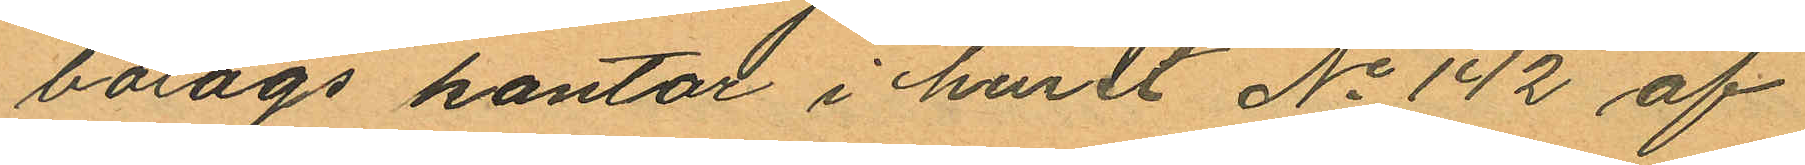bolags kontor i huset No 142 af
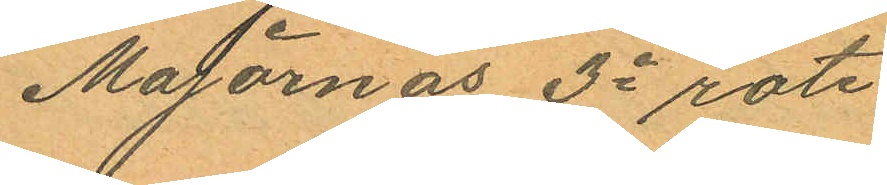Majornas 3e rote.
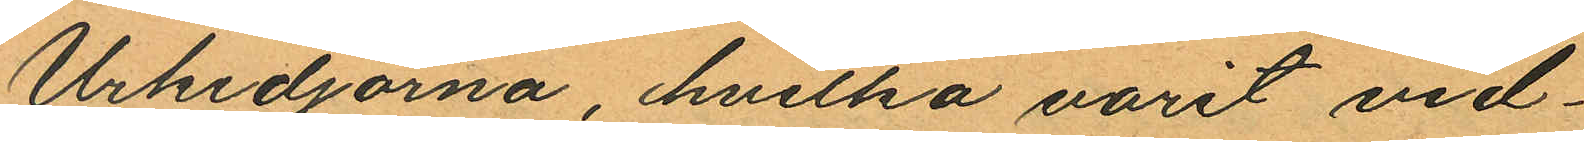Urkedjorna, hvilka varit vid¬
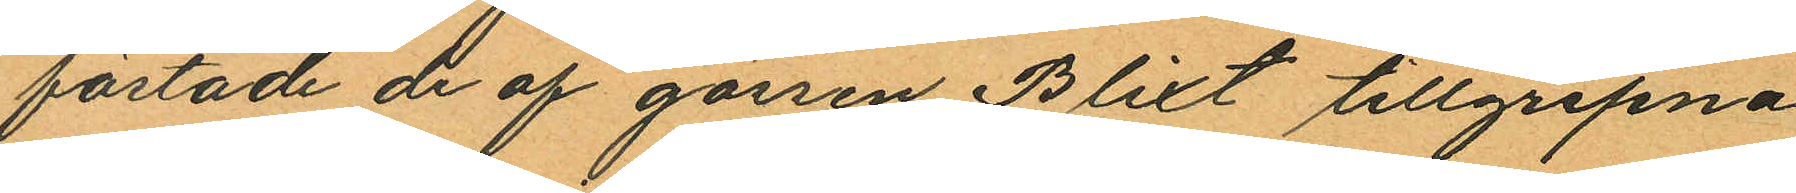fästade de af gossen Blixt tillgripna
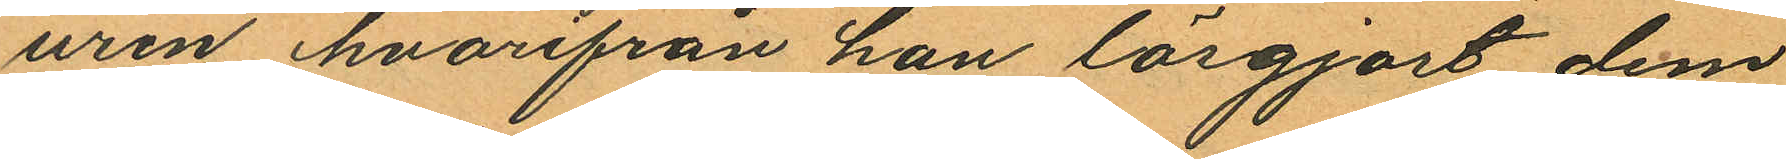uren hvarifrån han lösgjort dem
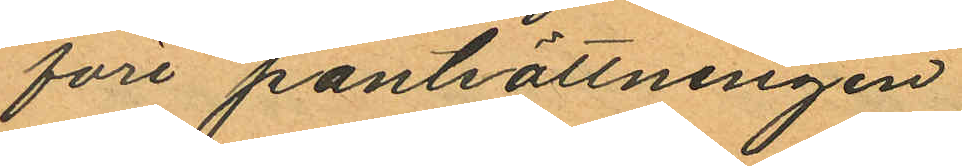före pantsättningen
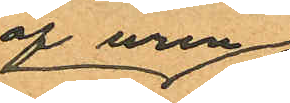af uren
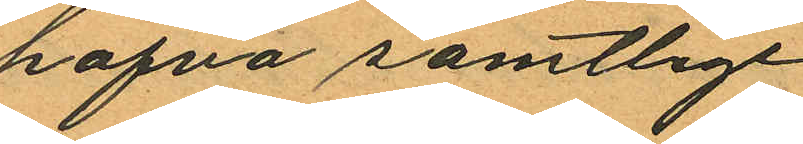hafva samtlige
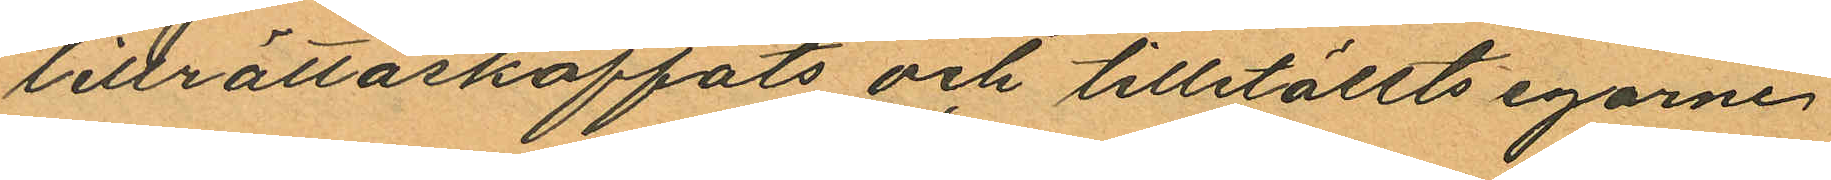lillrättaskaffats och tillställts egarne
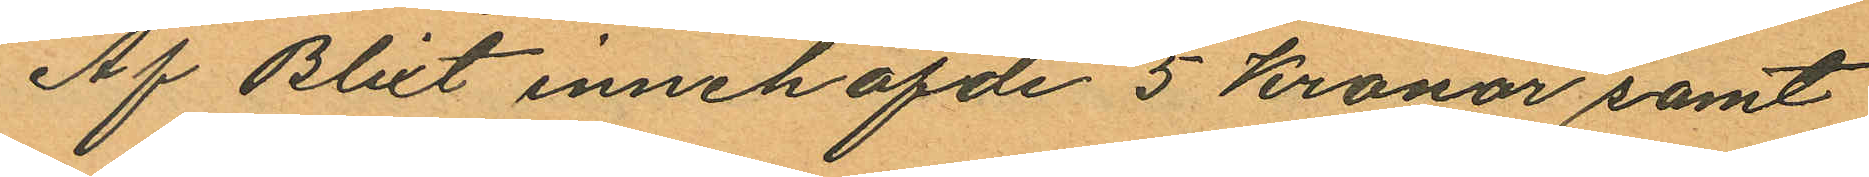Af Blixt innehafde 5 kronor samt
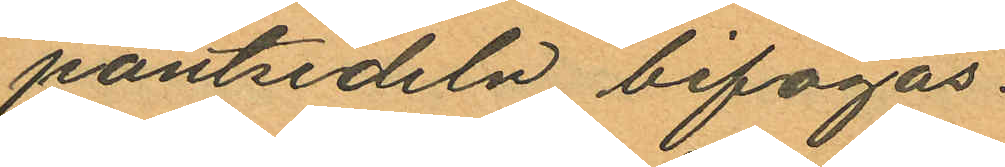pantsedeln bifogas.
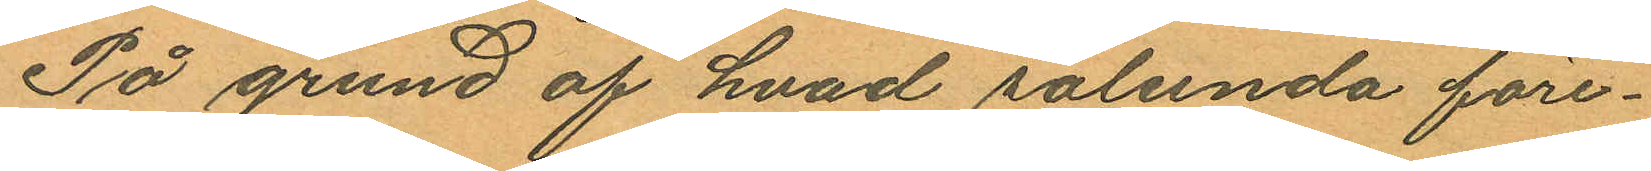På grund af hvad sålunda före¬
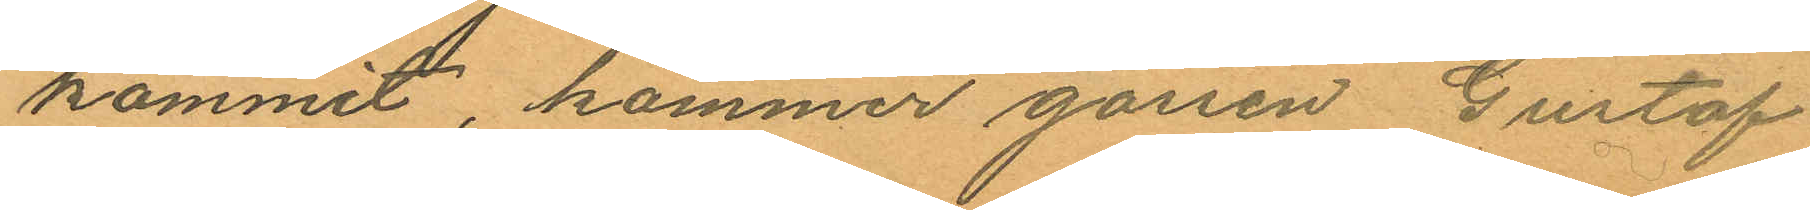kommit, kommer gossen Gustaf
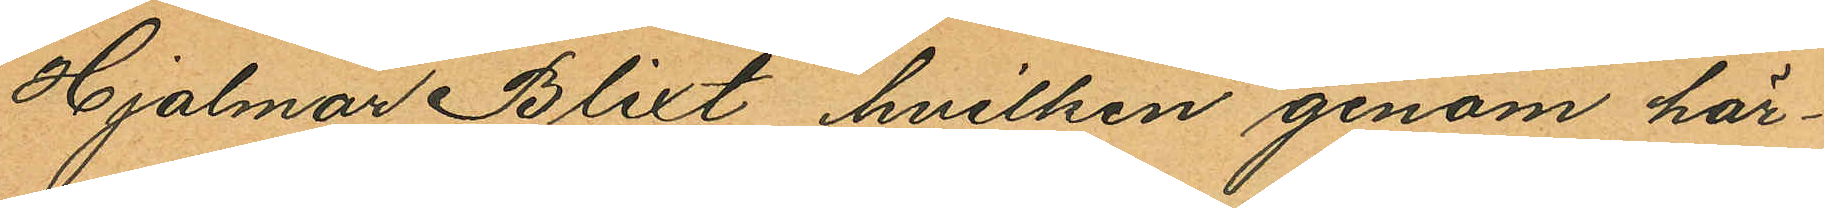Hjalmar Blixt hvilken genom här¬
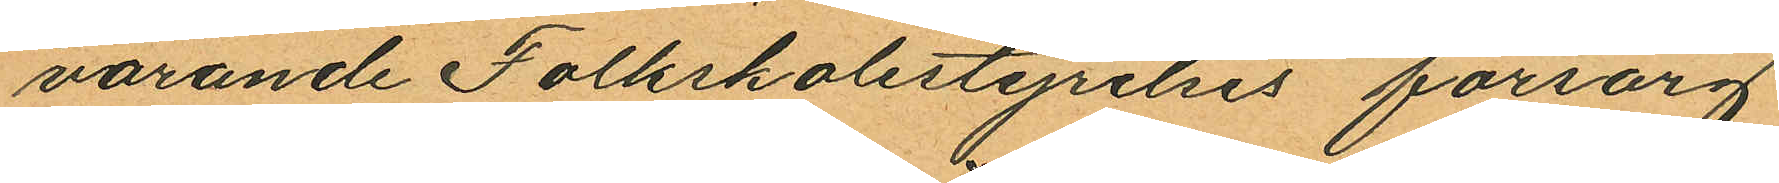varande Folkskolestyrelses försorg
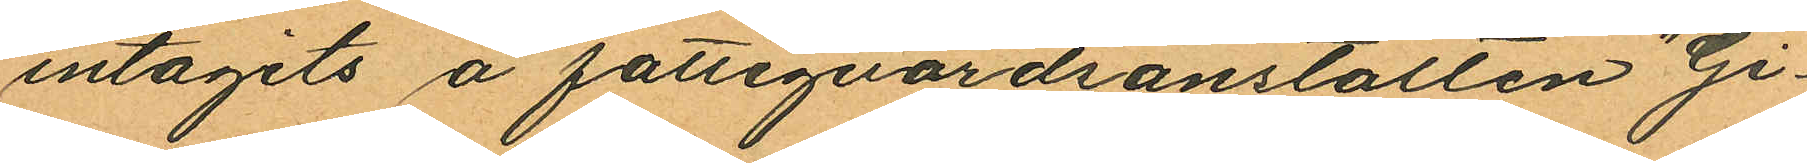intagits å fattigvårdsanstalten "Gi¬
